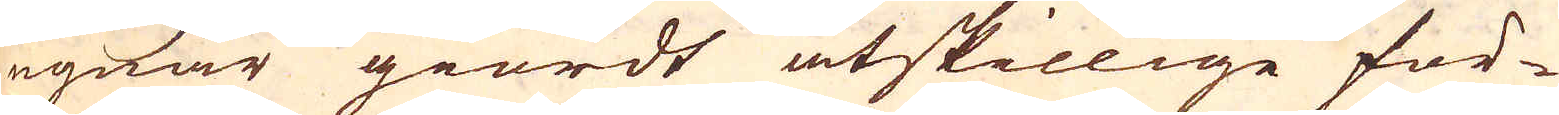ugnar giordt åtskillige för-
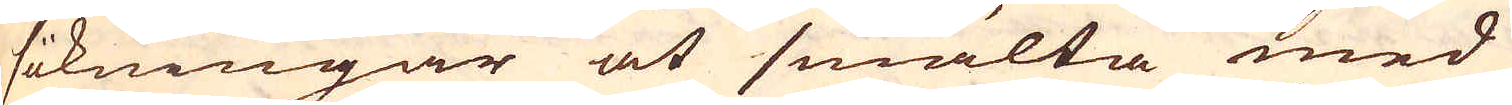sökningar at smälta med
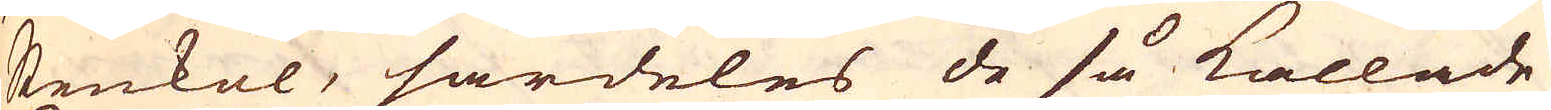stenkol, särdeles de så kallade
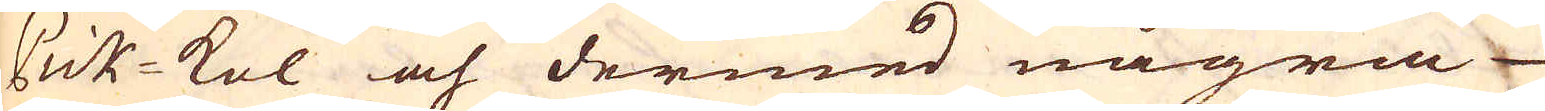Pick-kol och dermed några
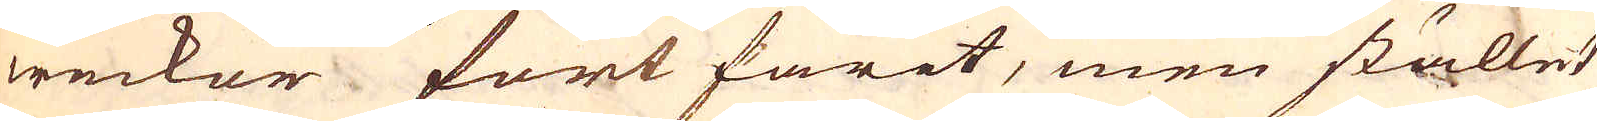weckor fort farit, men stället
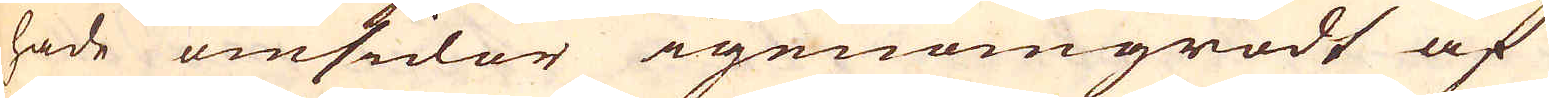hade omsidor igenomgrodt af
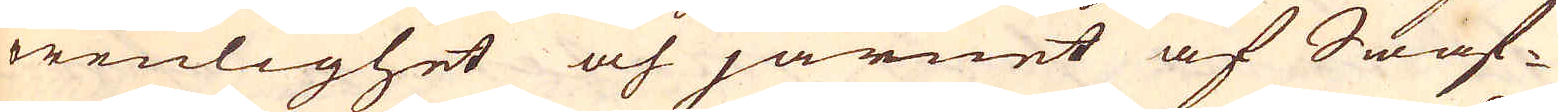orenlighet och järnet af Swaf-
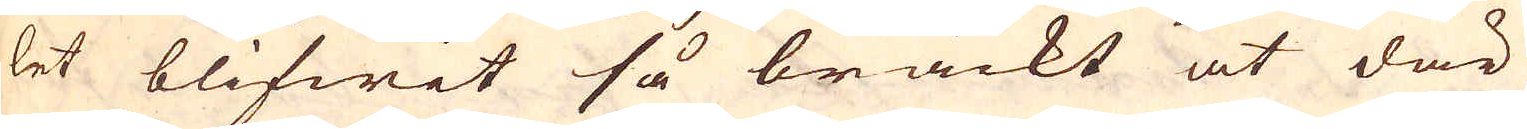let blifwit så bräckt at där
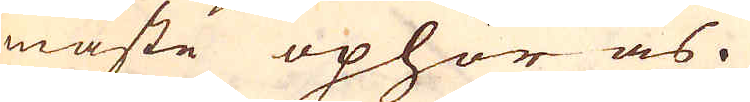måste ophöras.
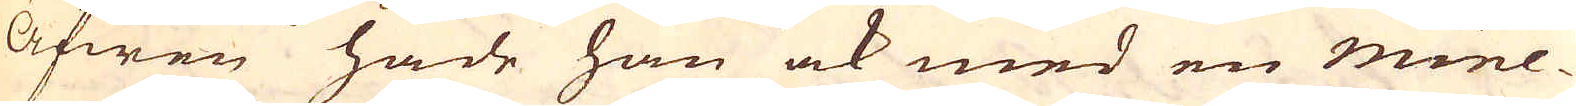Äfwen hade han ock med en mine-
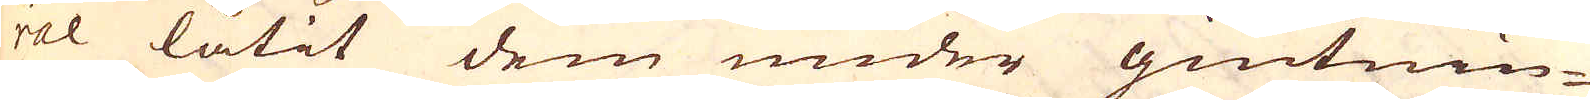ral låtit dem under giutnin-
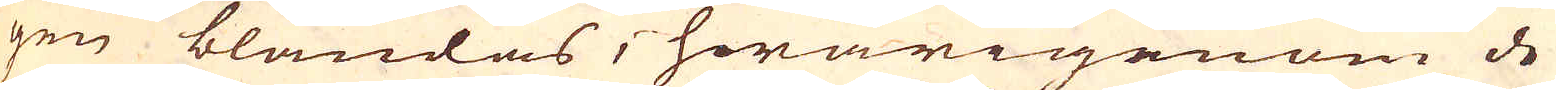gen blandas, hwarigenom de
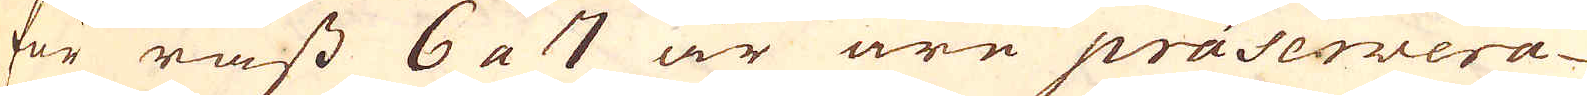för råss 6 a 7 år äre präservera-
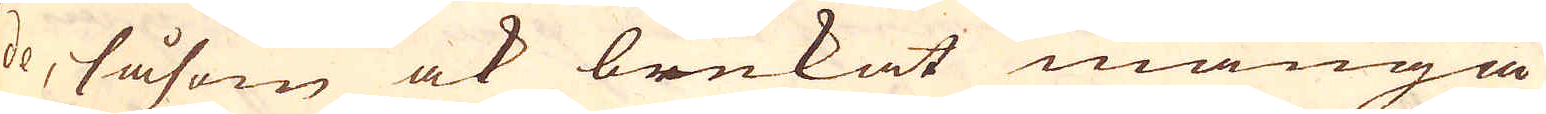de, såsom ock brukat många
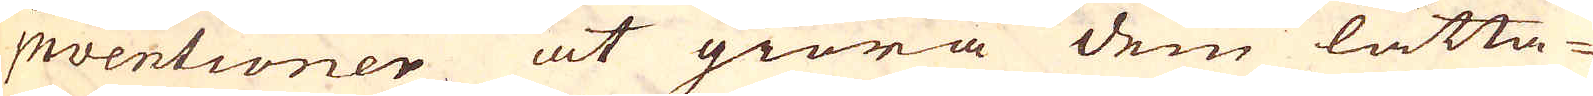inventioner at giöra dem lätta-
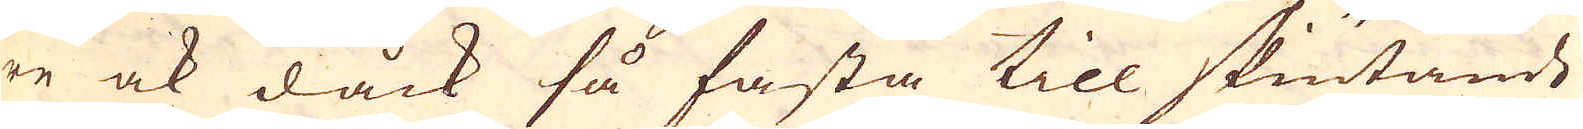re ock dåck så fasta till skiutande
